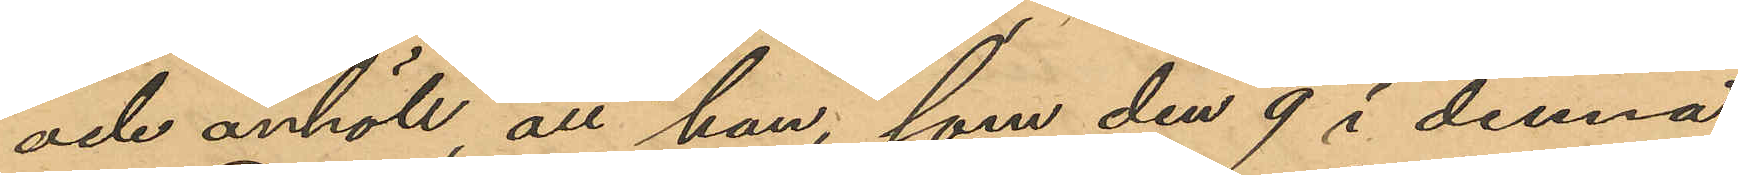och anhöll, att han, som den 9 i denna
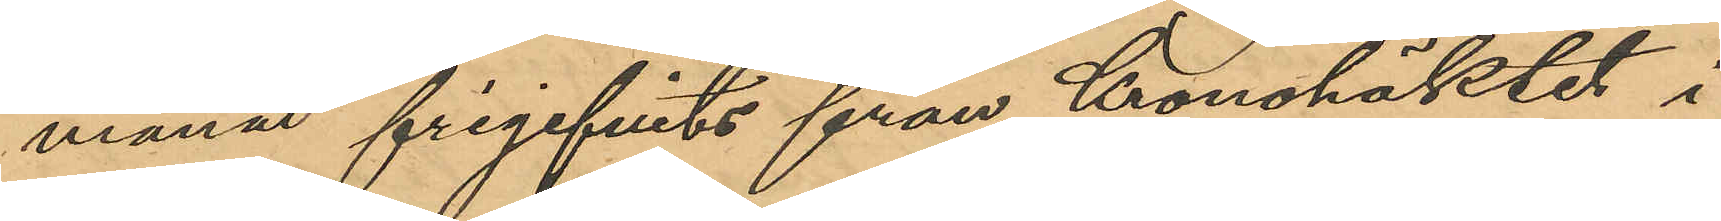månad frigifvits från Kronohäktet i
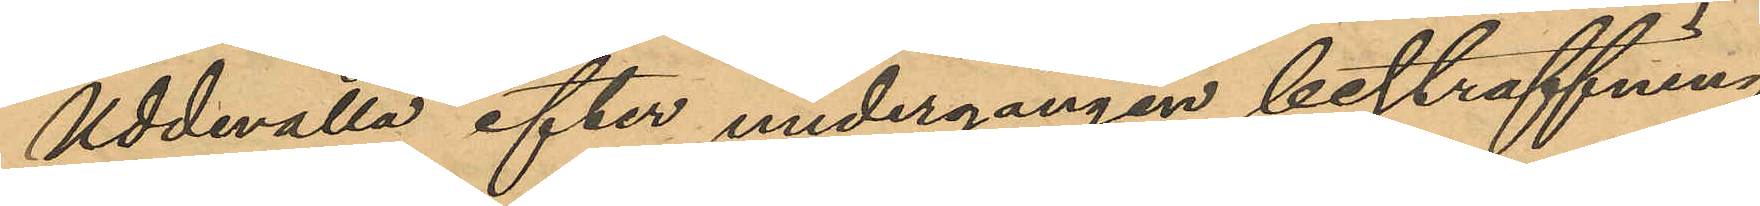Uddevalla efter undergången bestraffning
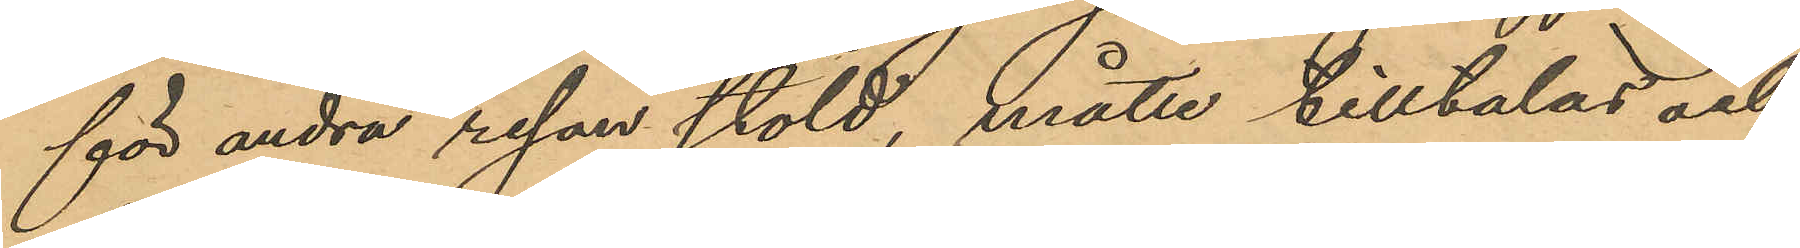för andra resan stöld, måtte tilltalas och
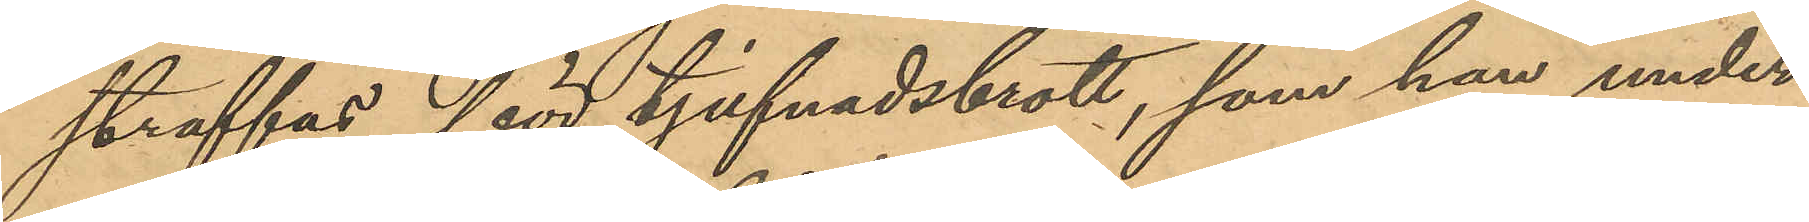straffas för tjufnadsbrott, som han under
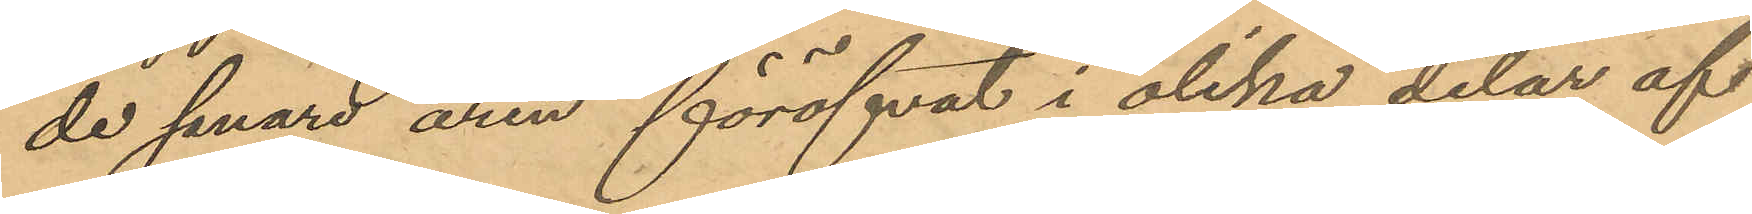de senare åren föröfvat i olika delar af
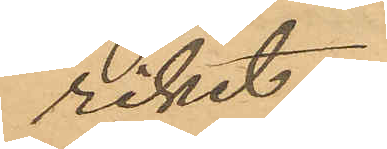riket.
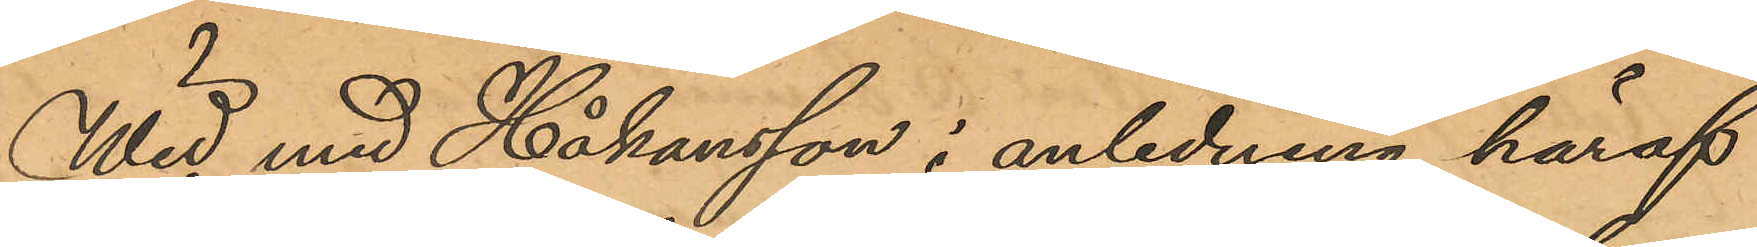Wid med Håkansson i anledning häraf
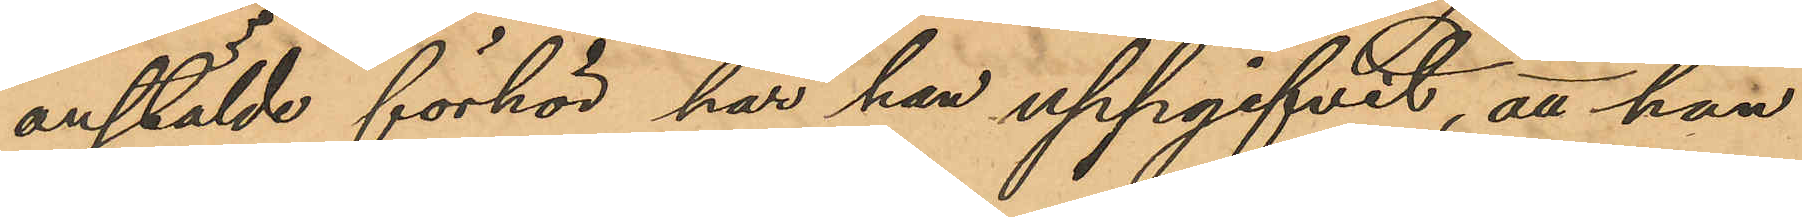anstälde förhör, har han uppgifvit, att han
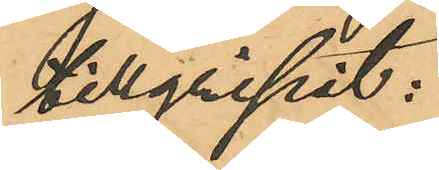tillgripit:
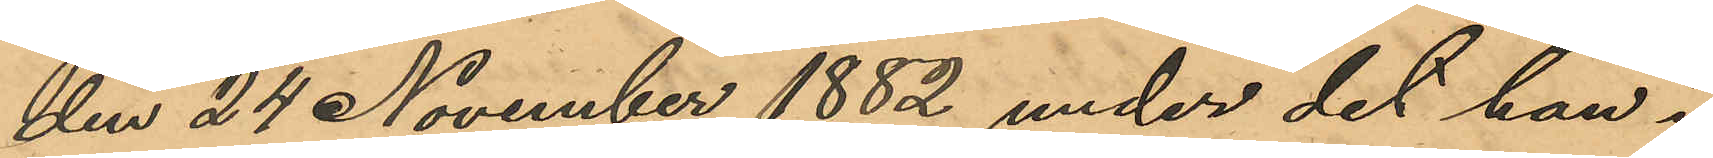den 24 November 1882 under det han i
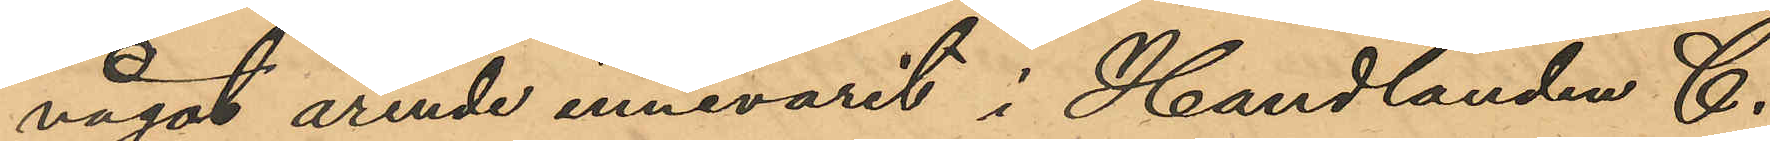något ärende innevarit i Handlanden C.
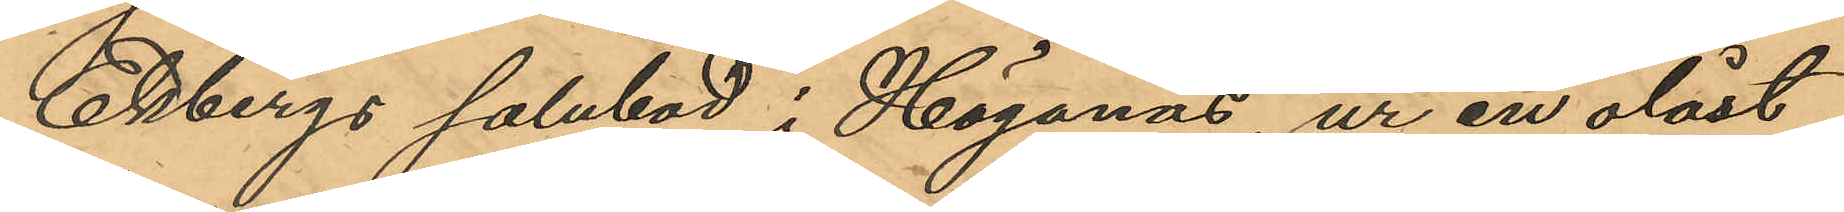Ekbergs salubod i Höganäs, ur en olåst
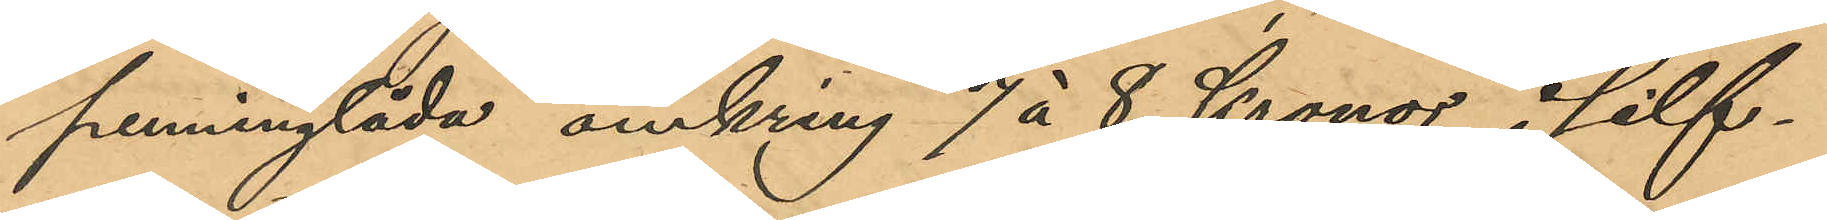penninglåda omkring 7 á 8 Kronor i silf¬
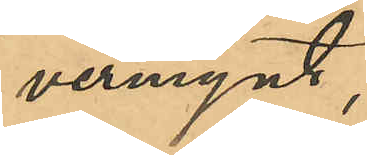vermynt,
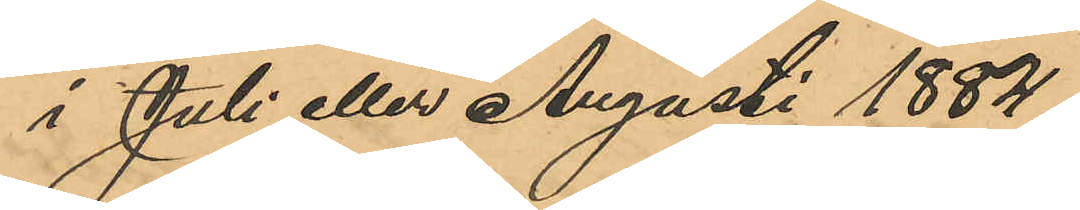i Juli eller Augusti 1884,
